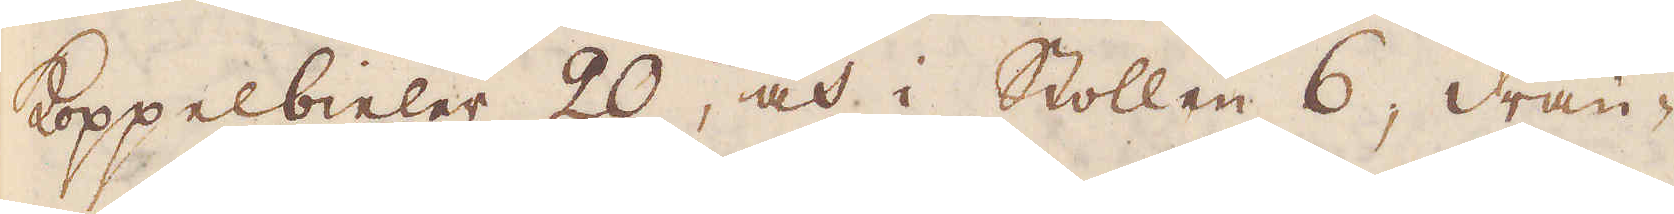Koppelbieler 20, och i Stollen 6 drän-
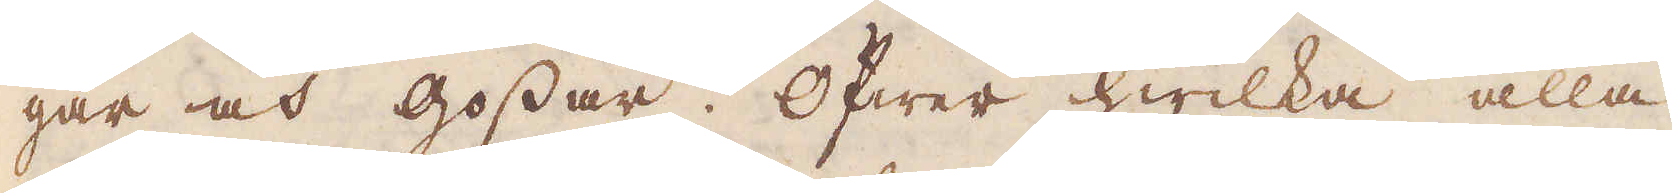gar och gossar. Öfwer hwilka alla
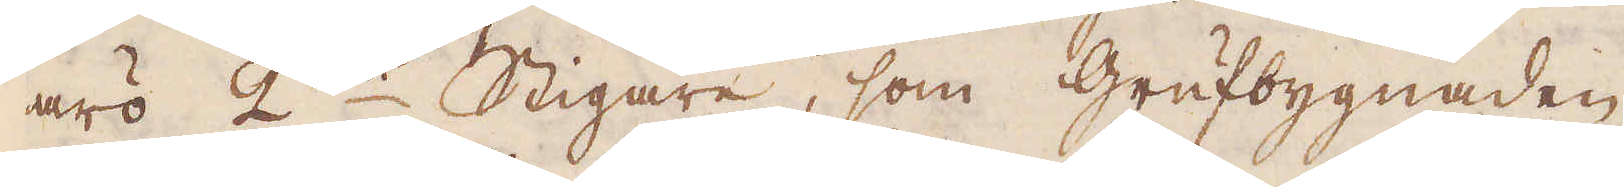äro 2ne Stigare, som grufbygnaden,
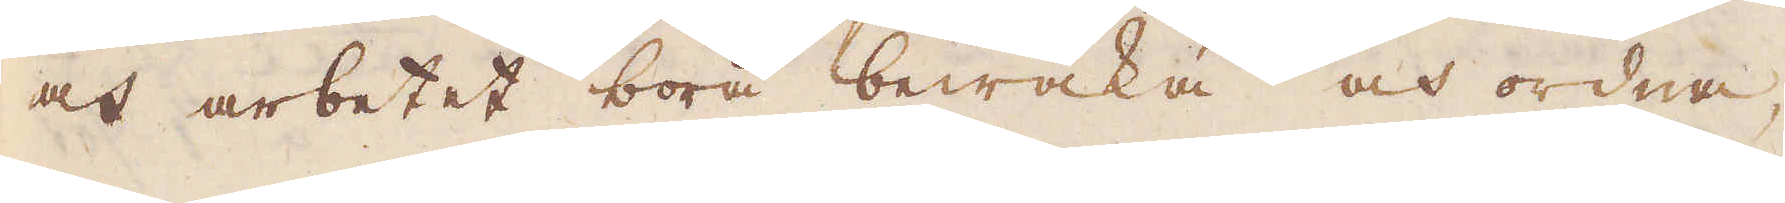och arbetet böra bewaka och ordna
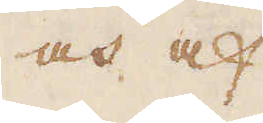och af
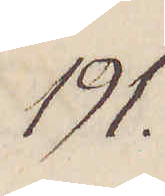191.
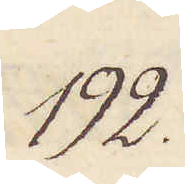192.
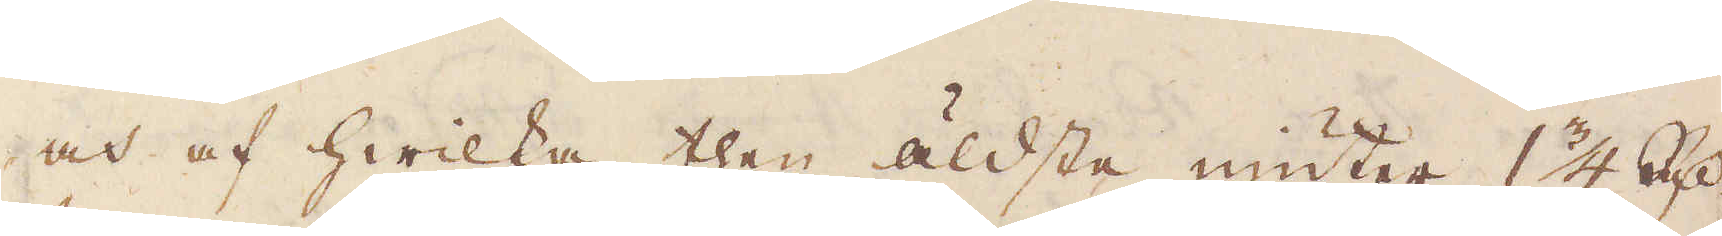och af hwilka then äldsta niuter 1 1/4 R:dr,
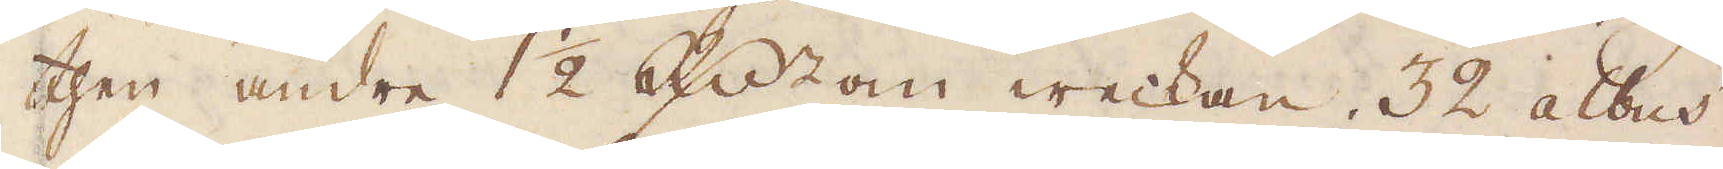then andre 1 1/2 R:dr om weckan. 32 albus.
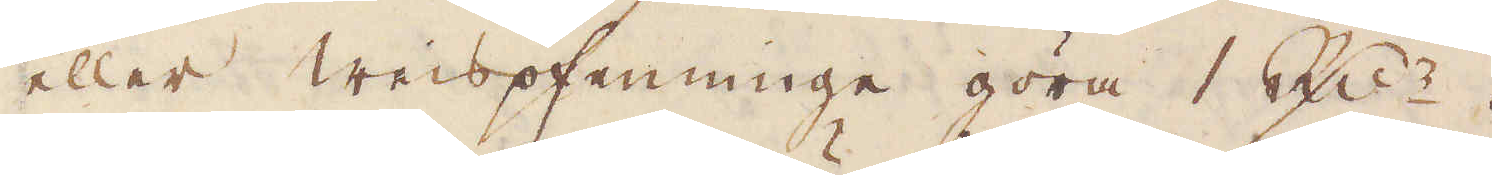eller weispfenninge göra 1 R:r.
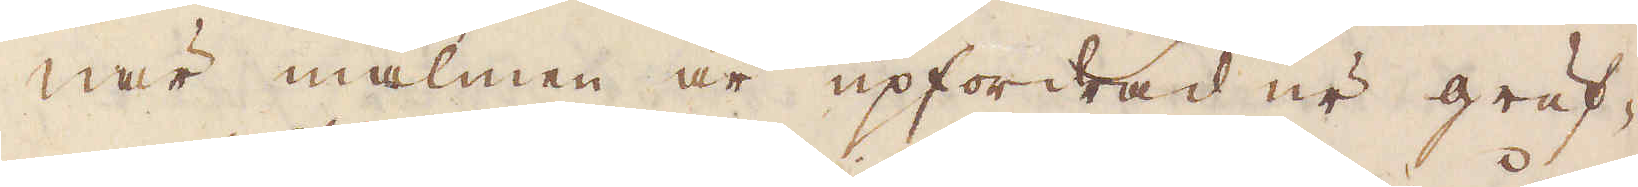När malmen är upfordrad ur gruf-
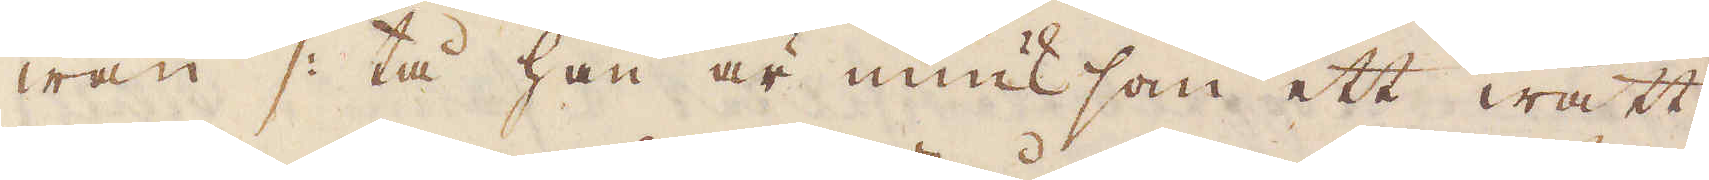wan /: tå han är miuk som ett wått
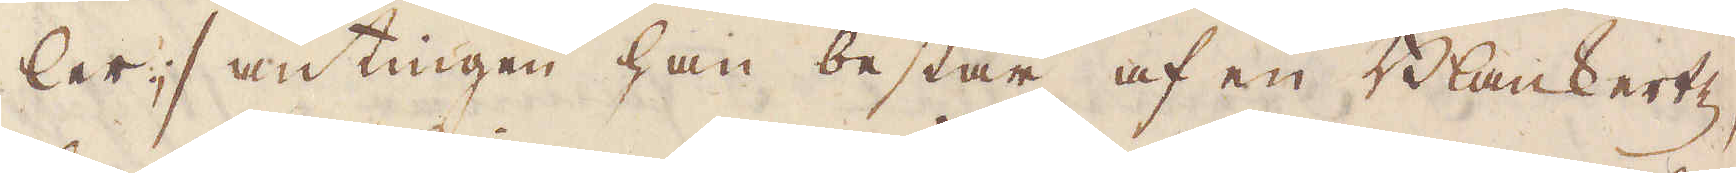ler :/ antingen han består af en Blankertz,
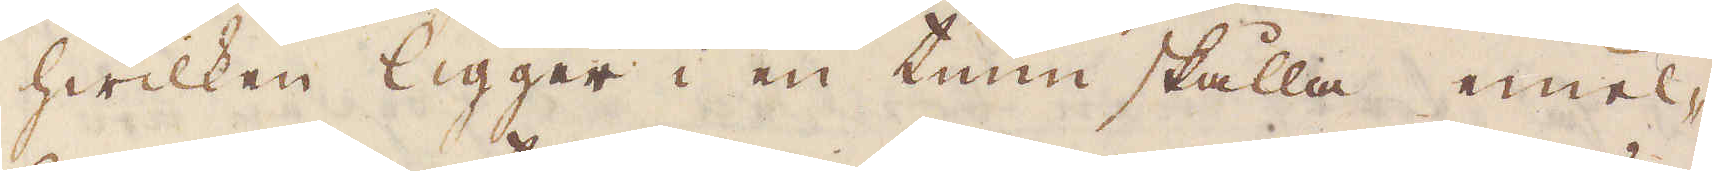hwilken ligger i en tum skålla emel-
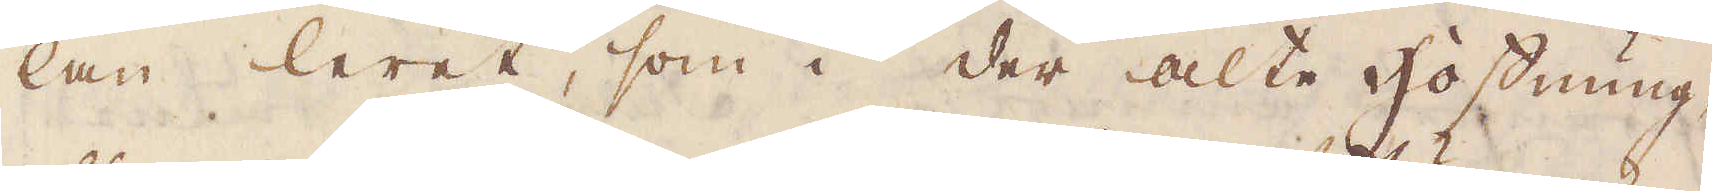lan leret, som i der alte hoffnung,
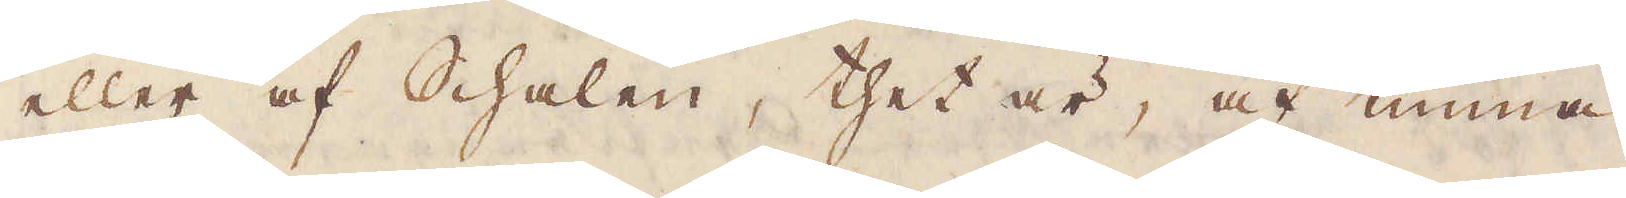eller af Schalen, thet är, af tunna
